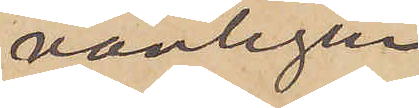vanligen
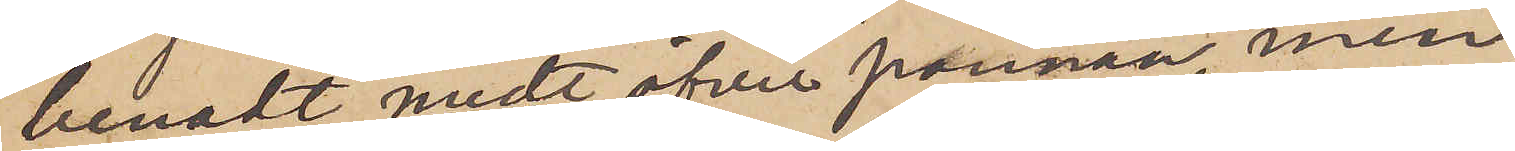benadt midt öfver pannan men
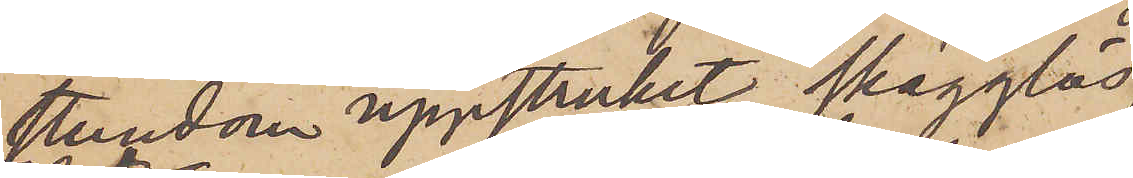stundom uppstruket, skägglös
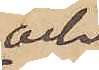och
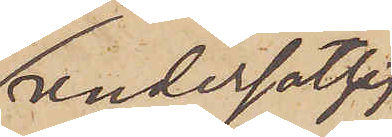undersätsig
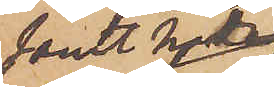samt har
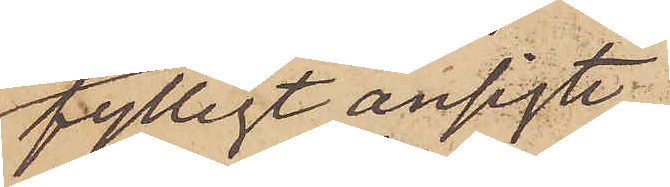fylligt ansigte
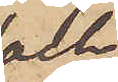och
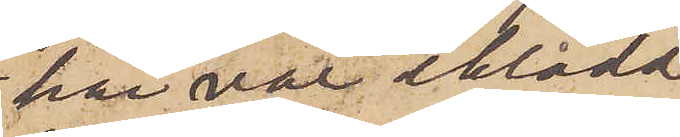här var iklädd
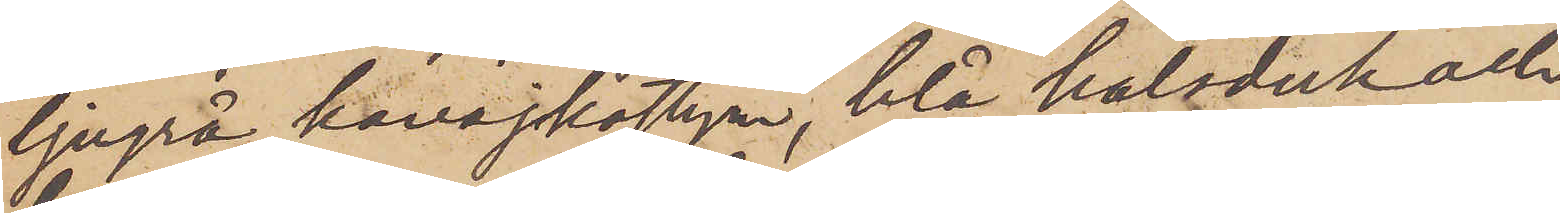ljugrå kavajkostym, blå halsduk och
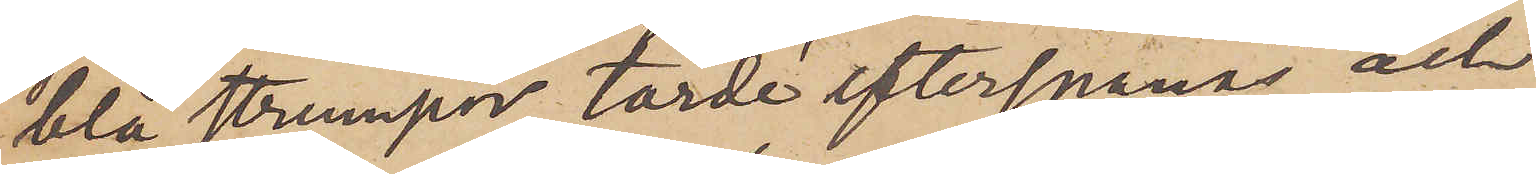blå strumpor torde efterspanas och
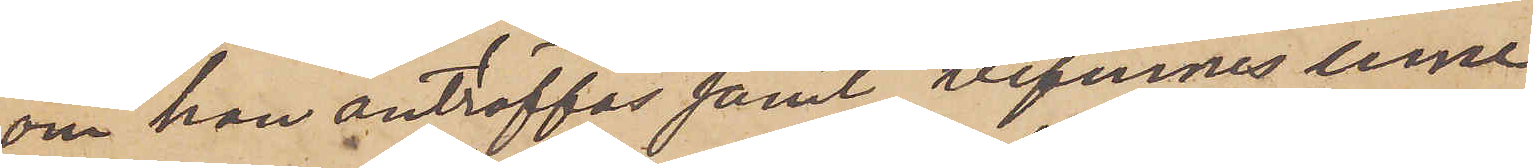om han anträffas samt befinnes inne¬
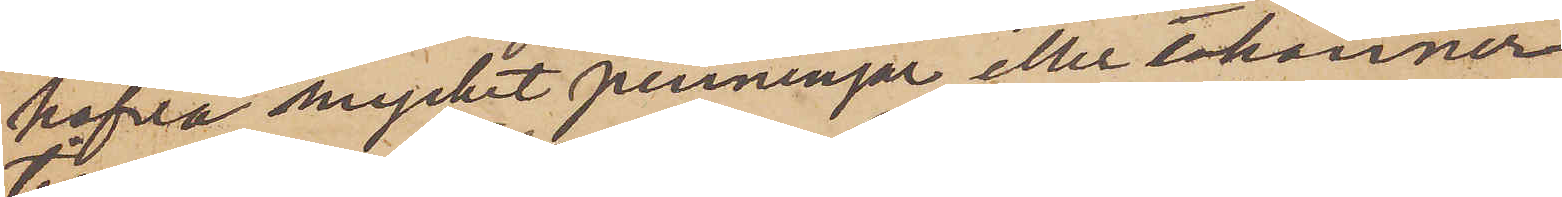hafva mycket penningar eller erkänner
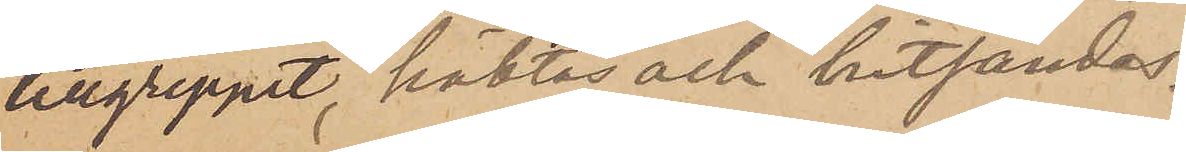tillgreppet, häktas och hitsändes.
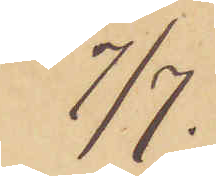7/7.
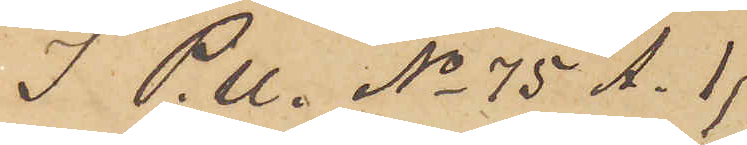I P. U. No 75 A.1
